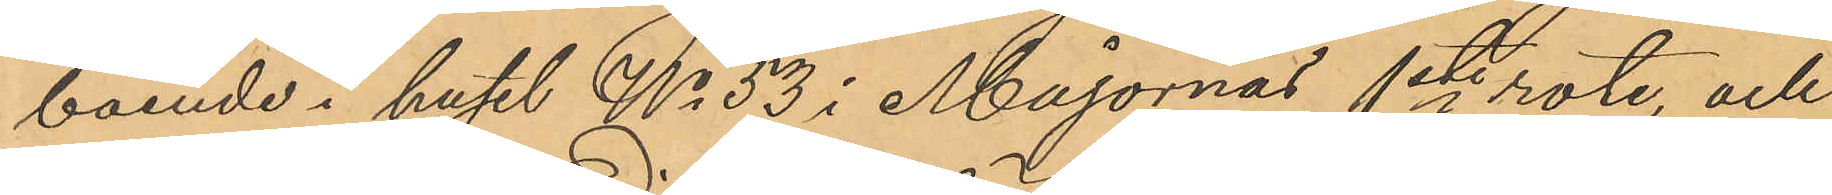boende i huset No 53 i Majornas 1ste rote, och
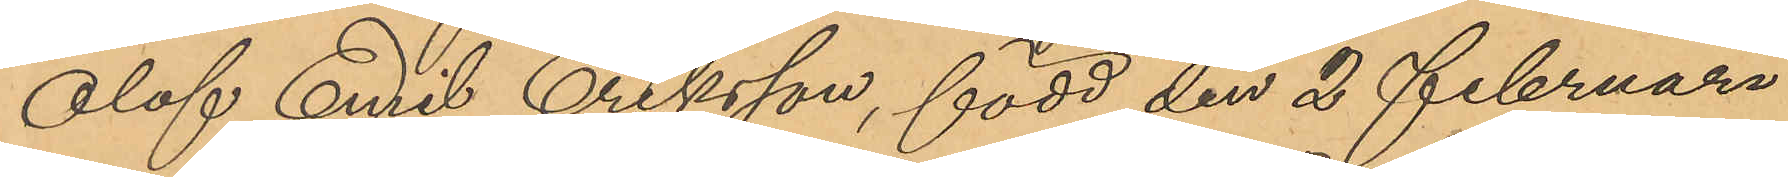Olof Emil Eriksson, född den 2 Februari
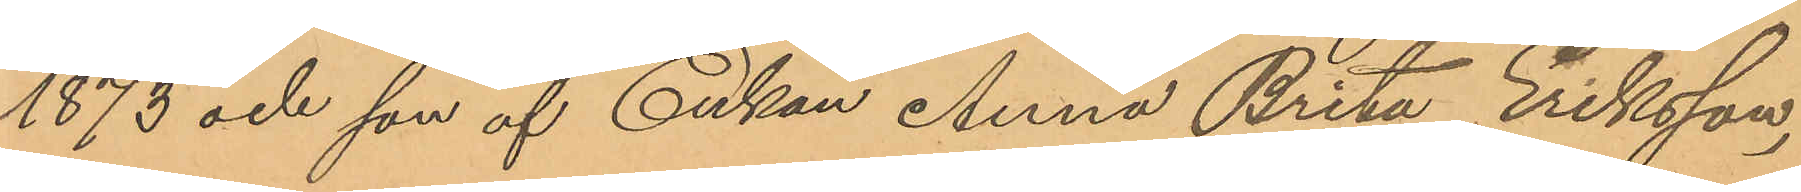1873 och son af Enkan Anna Brita Eriksson,
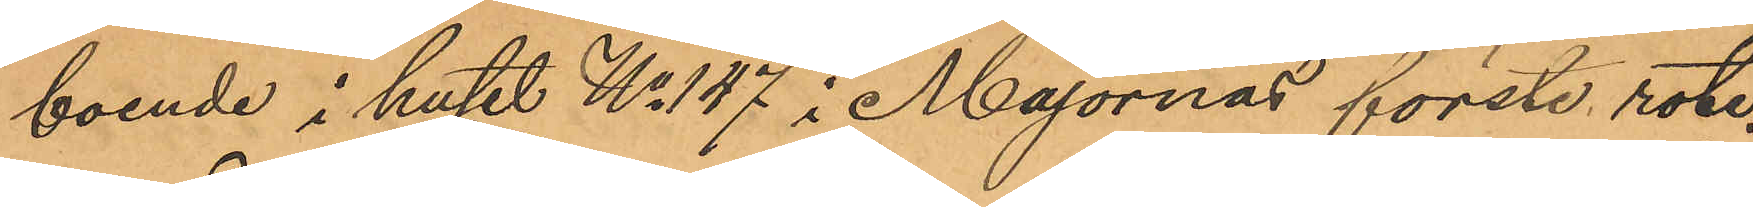boende i huset No 147 i Majornas förste rote,
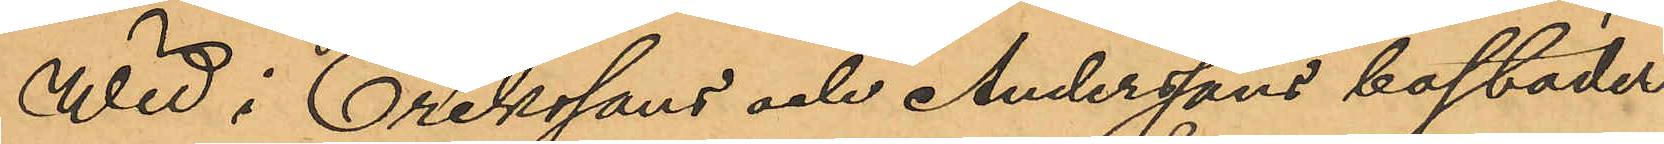Wid i Erikssons och Anderssons bostäder
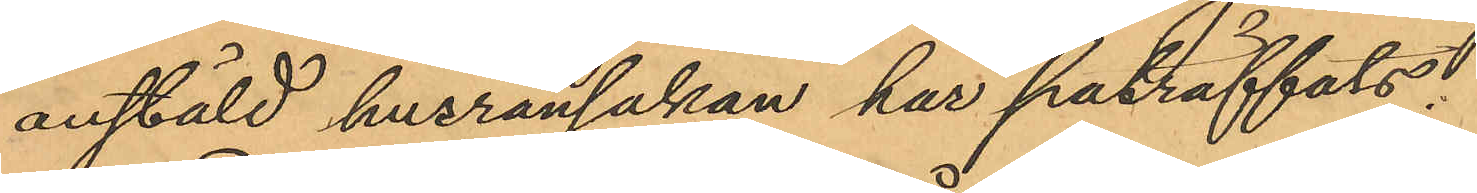anstäld husransakan har påträffats:
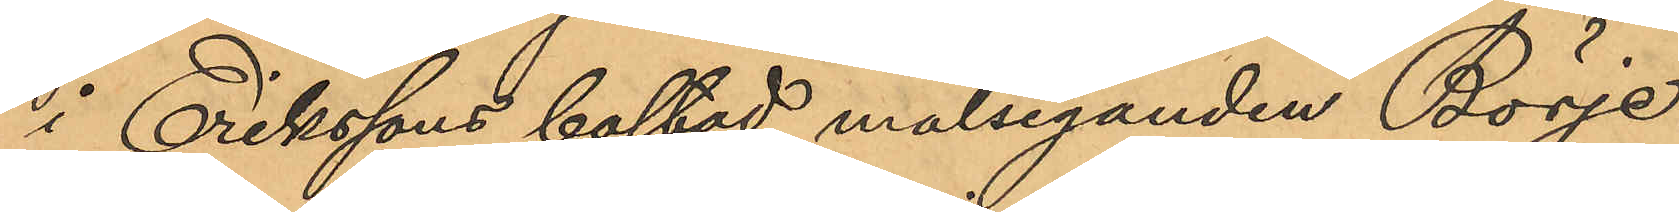i Erikssons bostad målseganden Börie
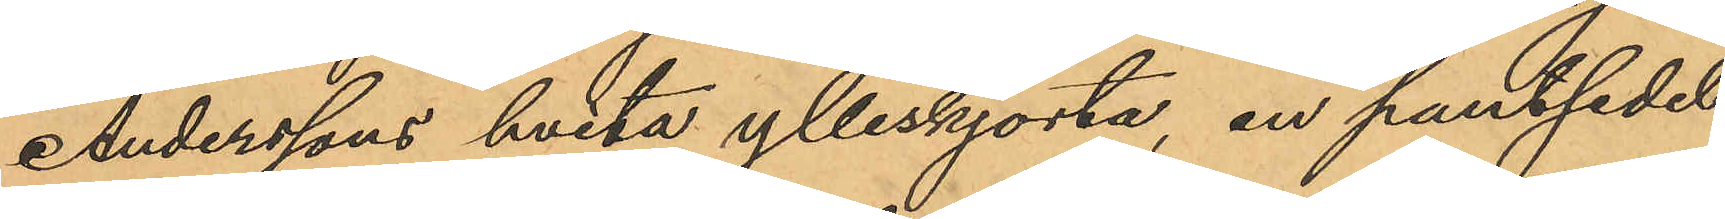Anderssons hvita ylleskjorta, en pantsedel
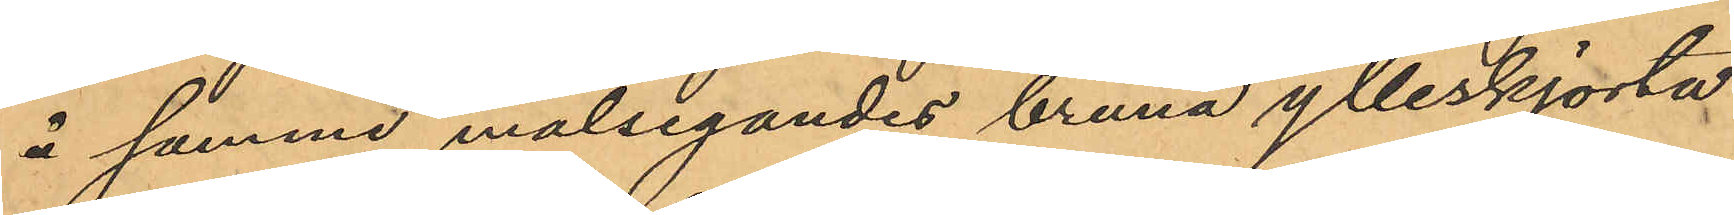å samme målsegandes bruna ylleskjorta
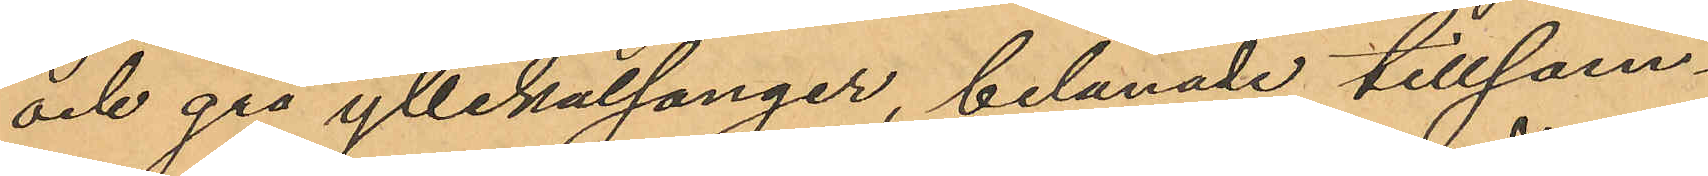och grå yllekalsonger, belånade tillsam¬
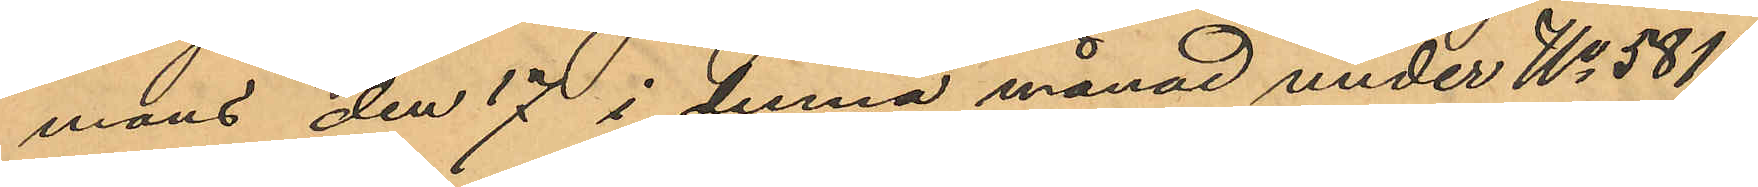mans den 17 i denna månad under No 5817
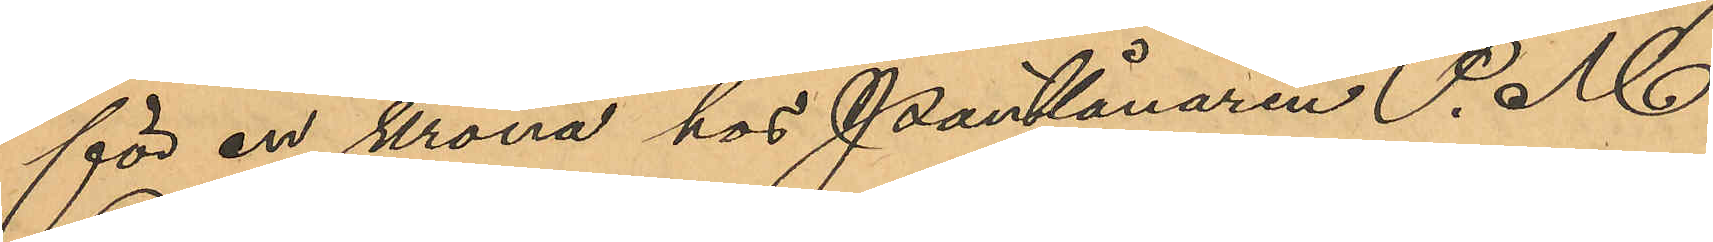för en krona hos pantlånaren P. M
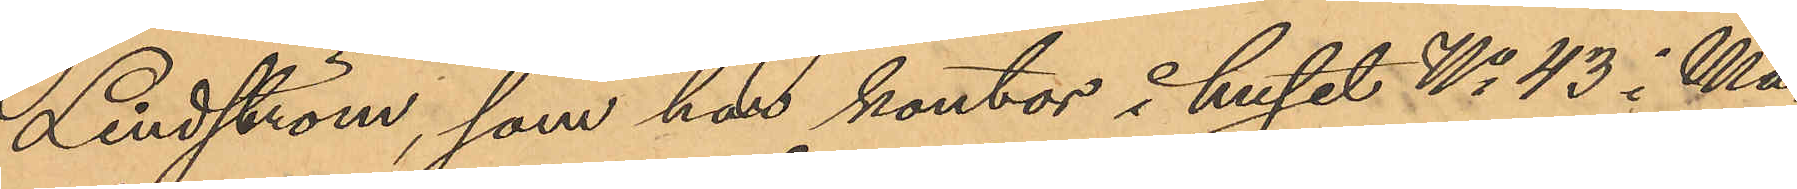Lindström, som har kontor i huset No 43 i Ma¬
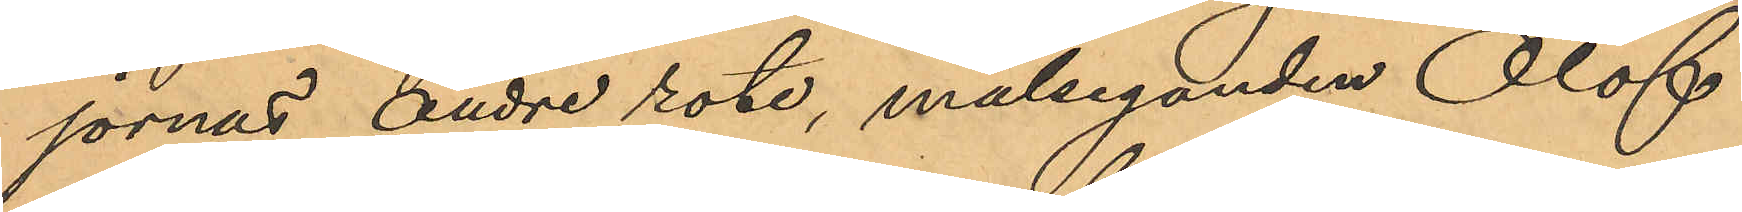jornas andre rote, målseganden Olof
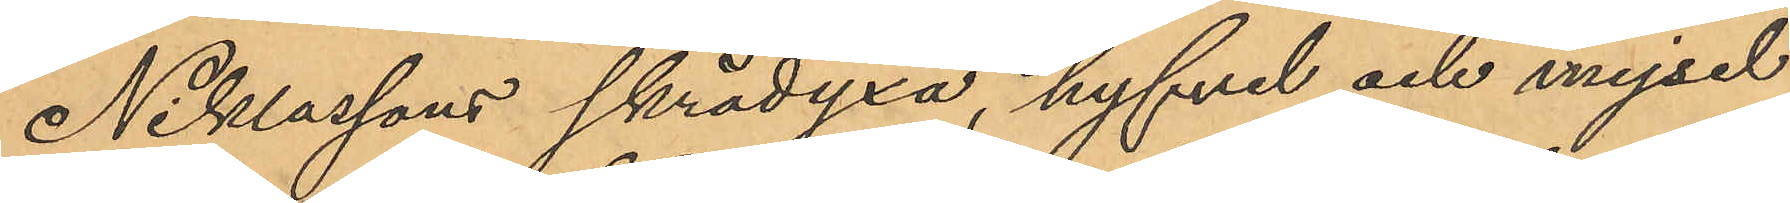Niklassons skrädyxa, hyfvel och mejsel
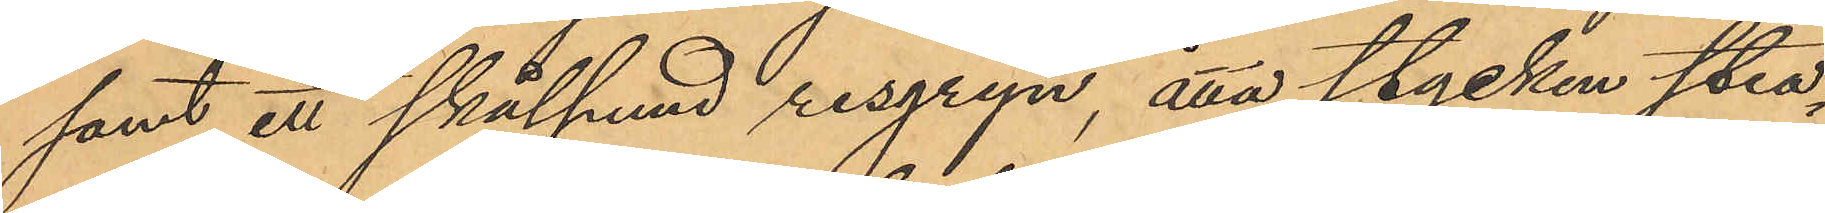samt ett skålpund risgryn, åtta stycken stea¬
